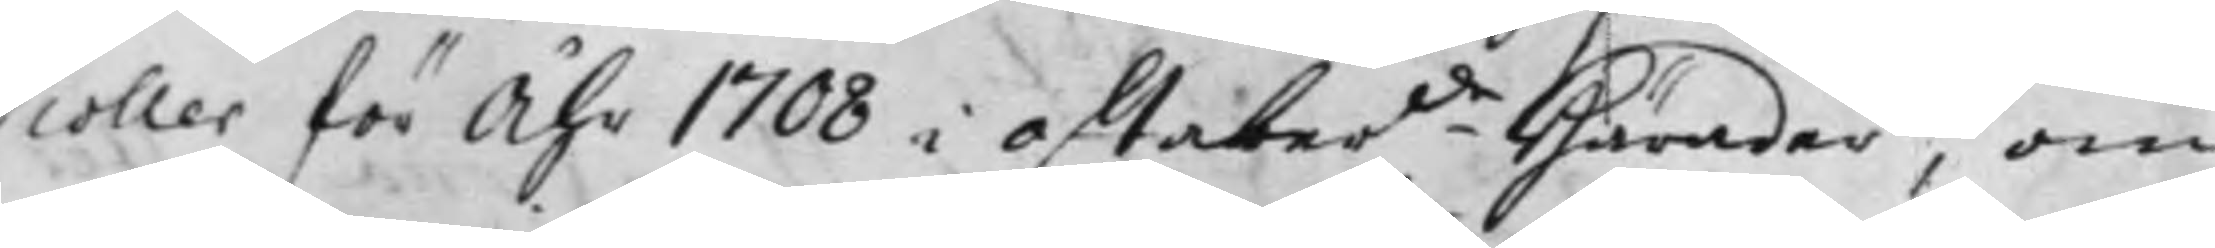coller för Åhr 1708 i oftaber.de Härader, om
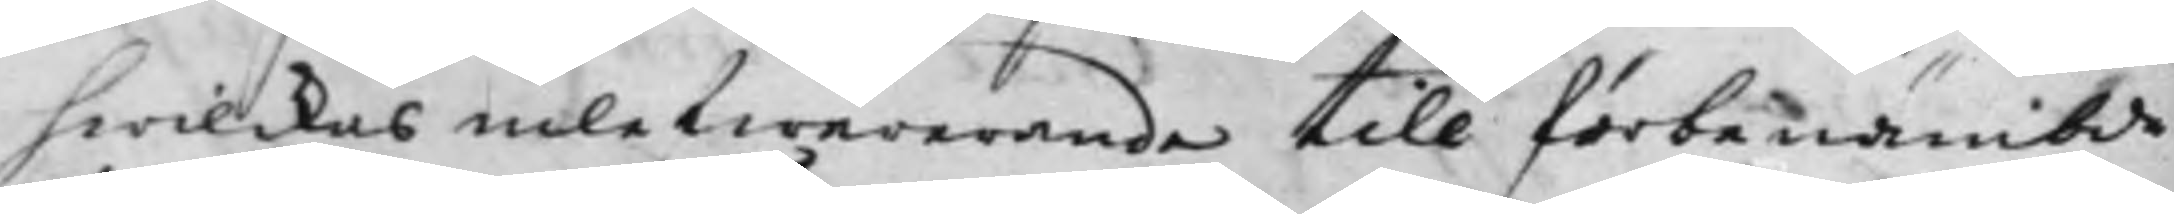hwilckas inlefwererande till förbenämbde
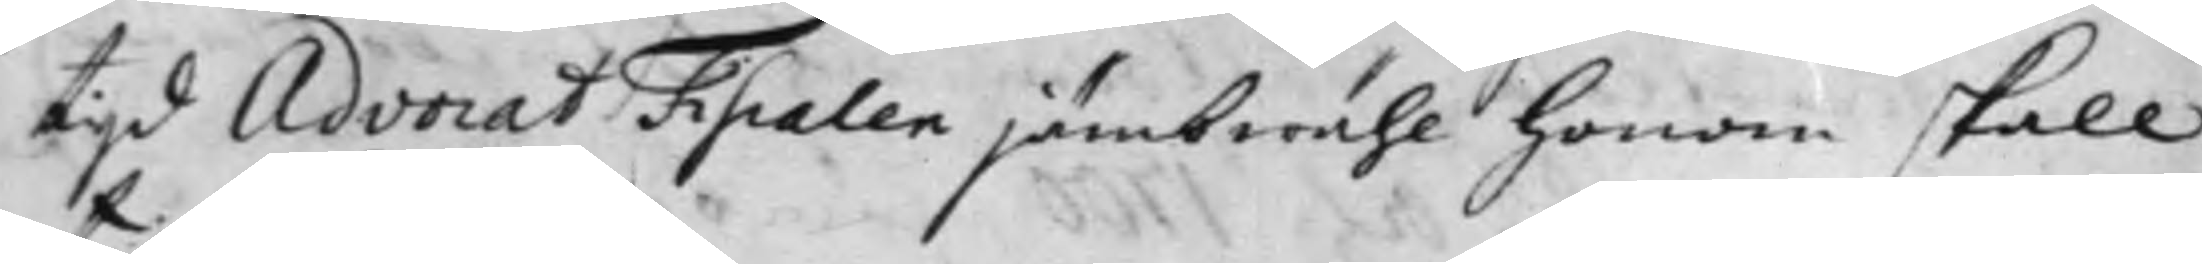tijd Advocat Fiscalen jämbwähl honom skall
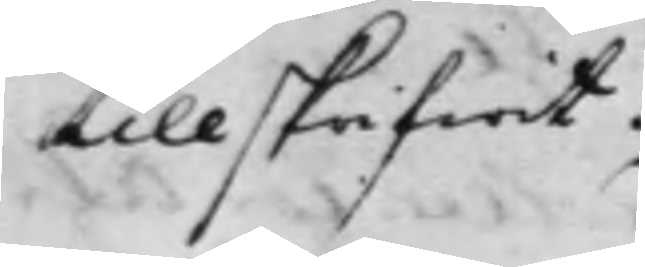tillskrifwit.
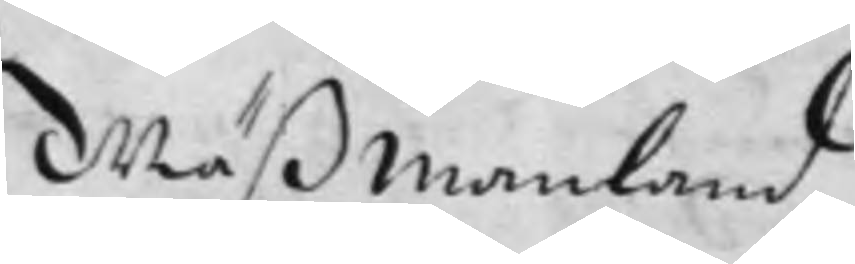Wäßmanland
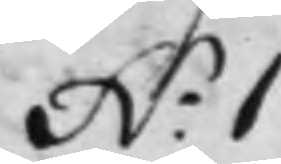N.o 1
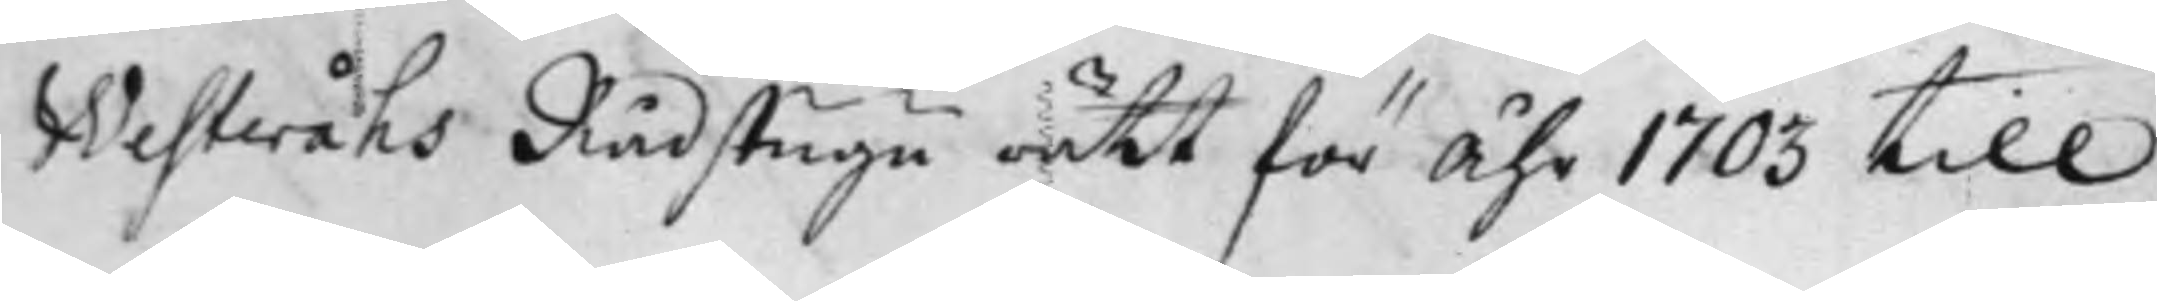Westeråhs Rådstugu rätt för Åhr 1703 till
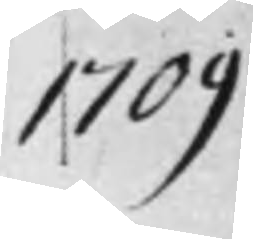1709
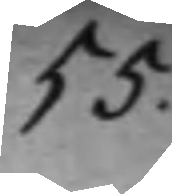55.
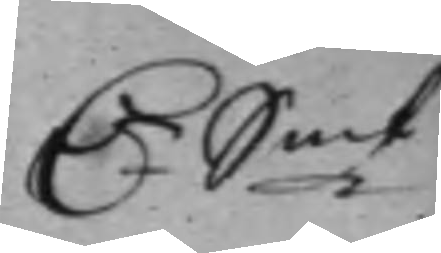D.r S:mt
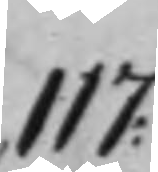117:
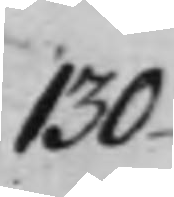130-
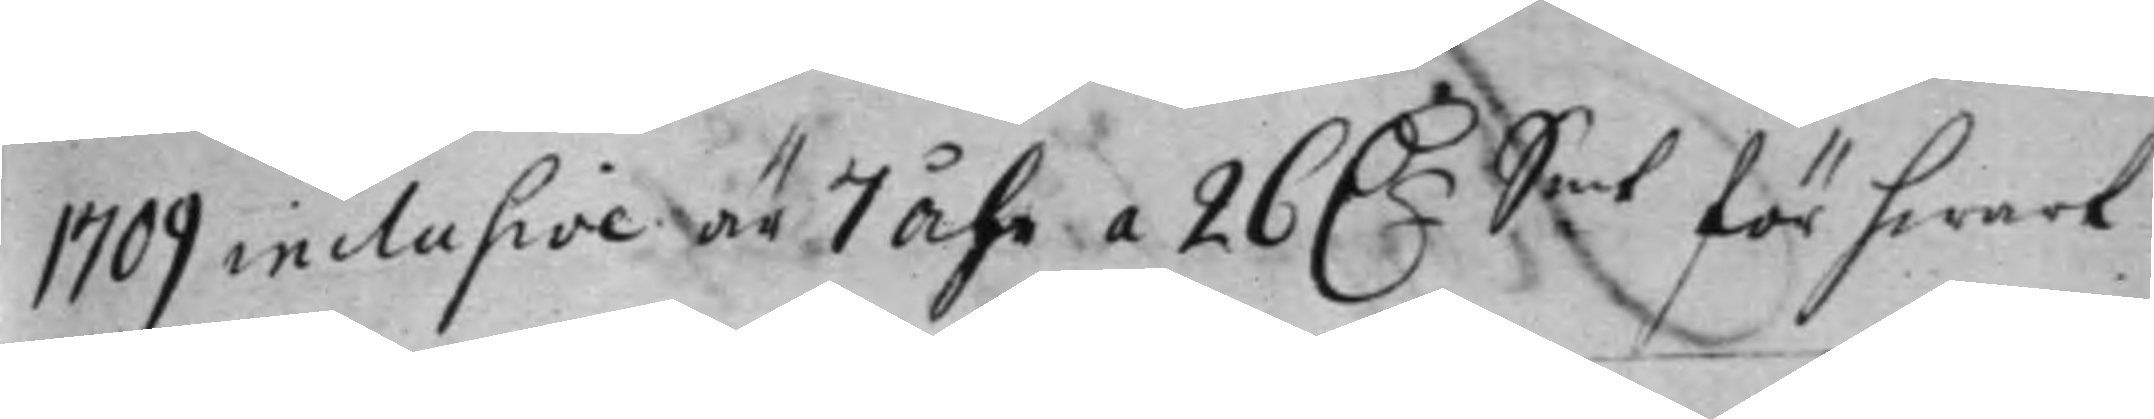1709 inclusive är 7 Åhr a 26 D.r för hwart
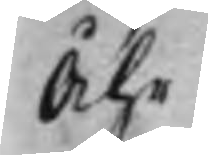Åhr
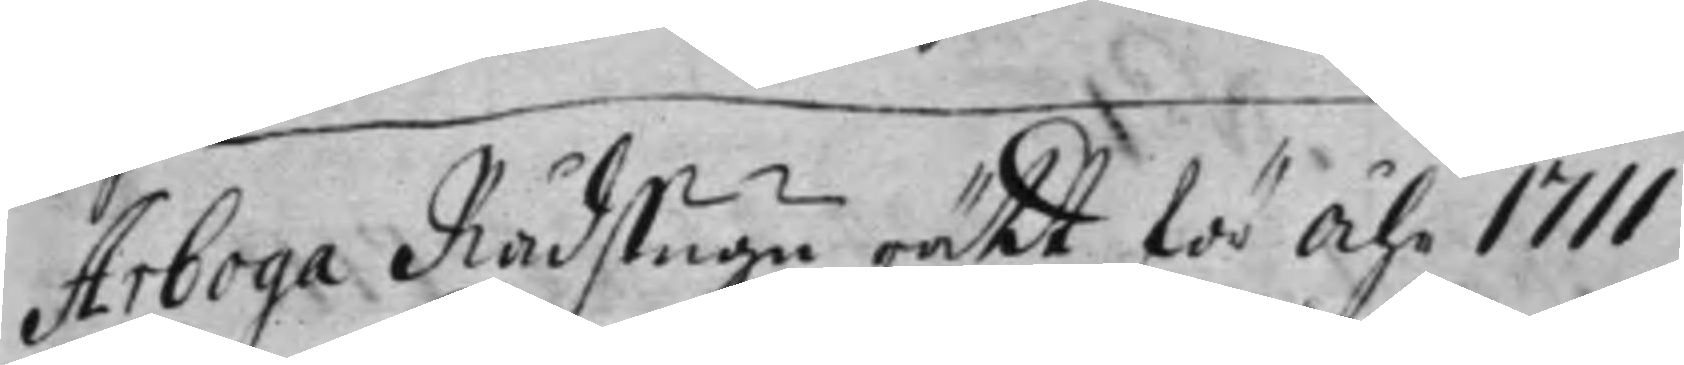Arboga Rådstugu rätt för Åhr 1711
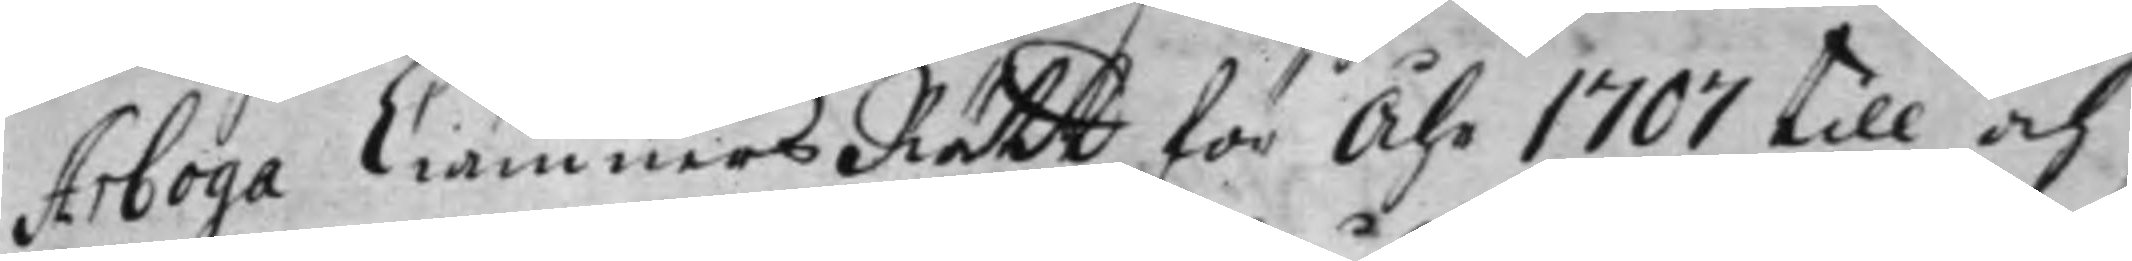Arboga Ciämners Rätt för Åhr 1707 till och
